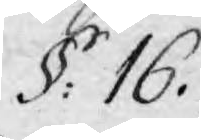§. 16.
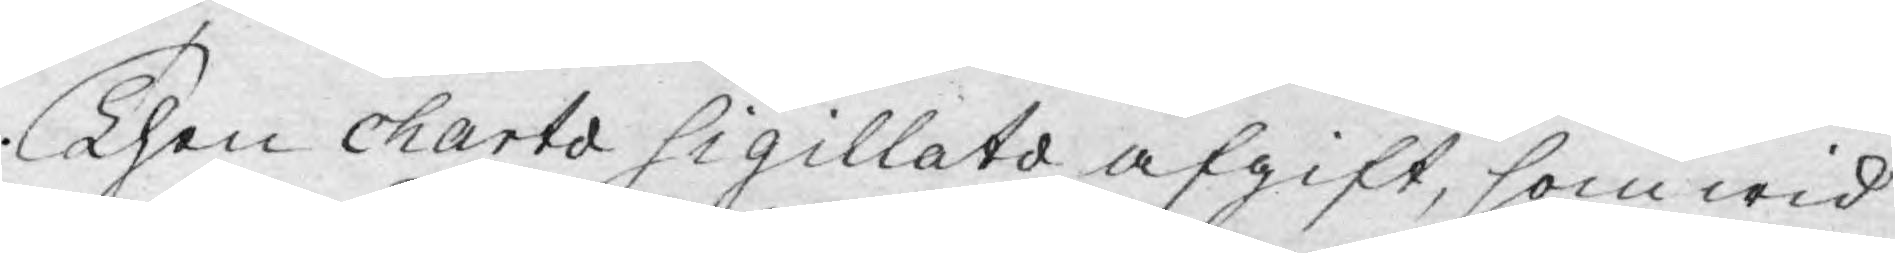Then charta Sigillats afgift, som wid
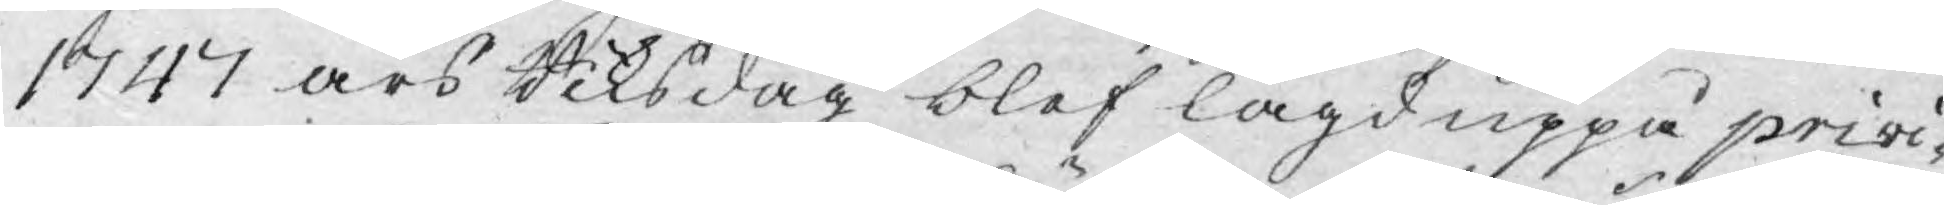1747 års Riksdag blef lagd uppå privi¬
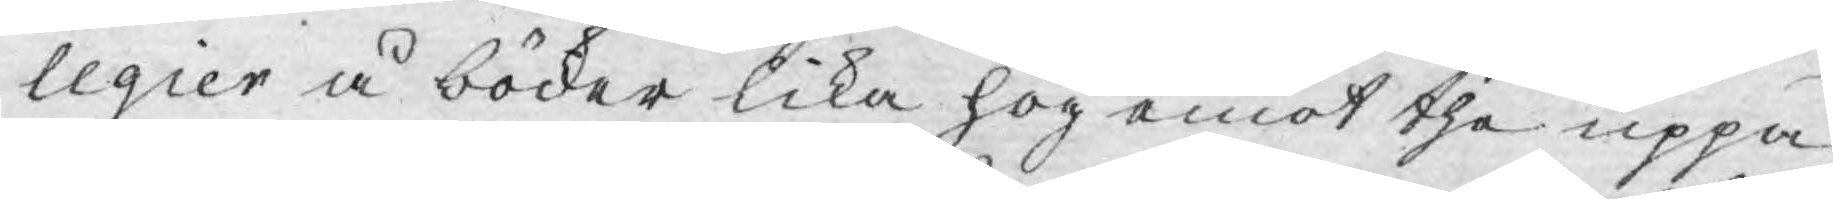legier å böcker lika hög emot the uppå
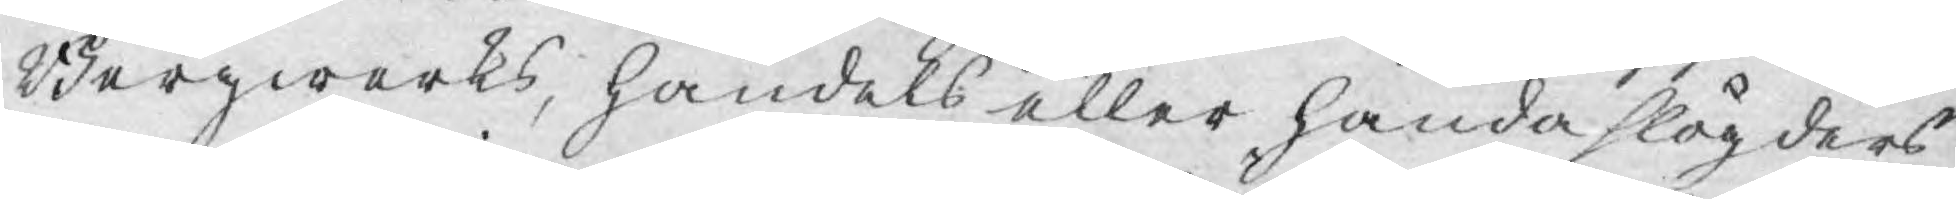Bergwerks, handels eller handa slögders
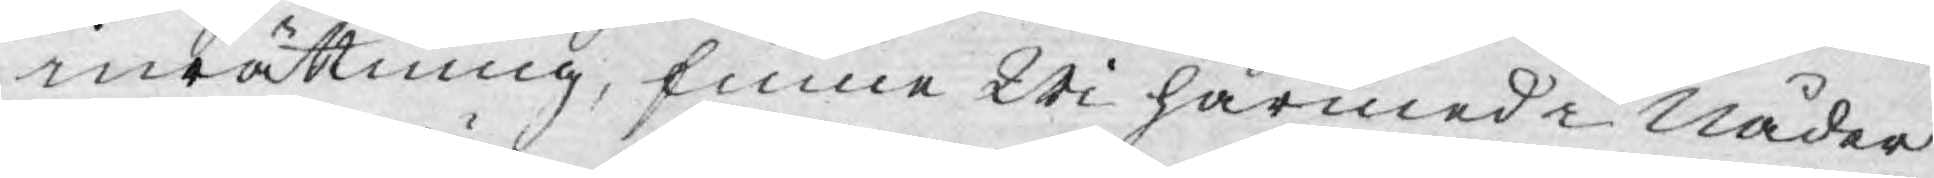inrättning, finne Wi härmed i Nåder
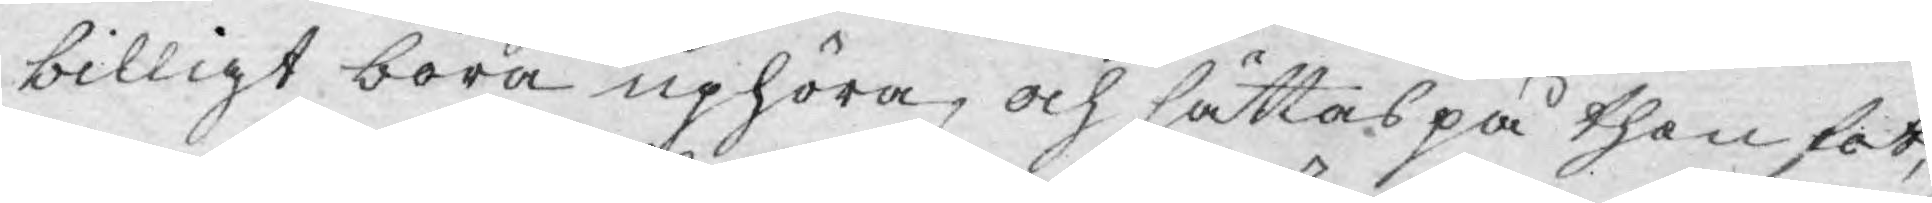billigt böra uphöra, och sättas på then fot,
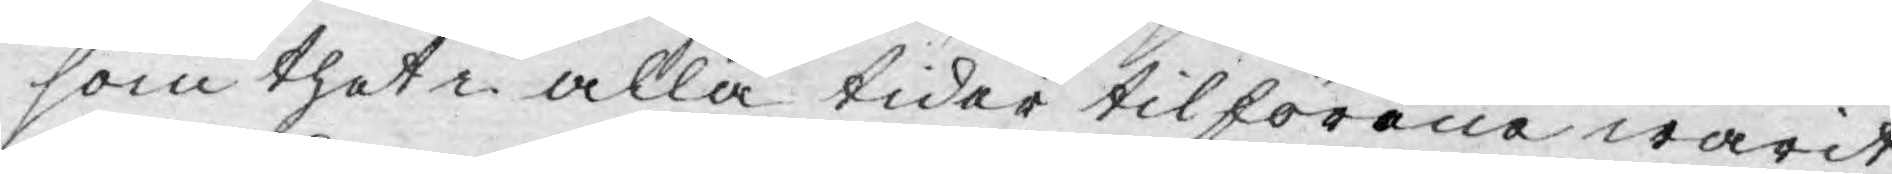som thet i alla tider tilförene warit,
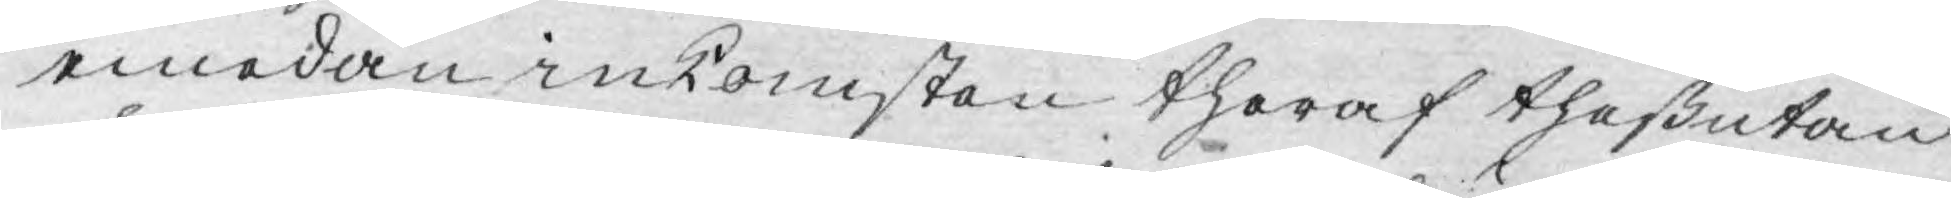emedan inkomsten theraf theßutan
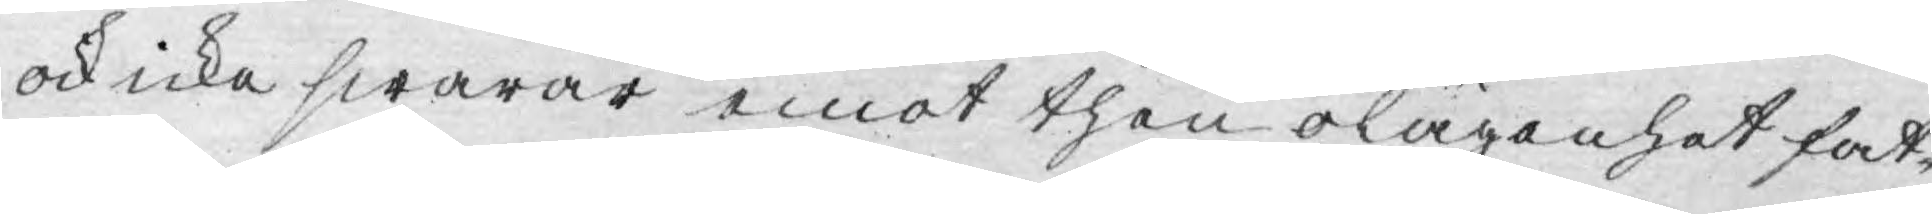ock icke swarar emot then olägenhet fat¬
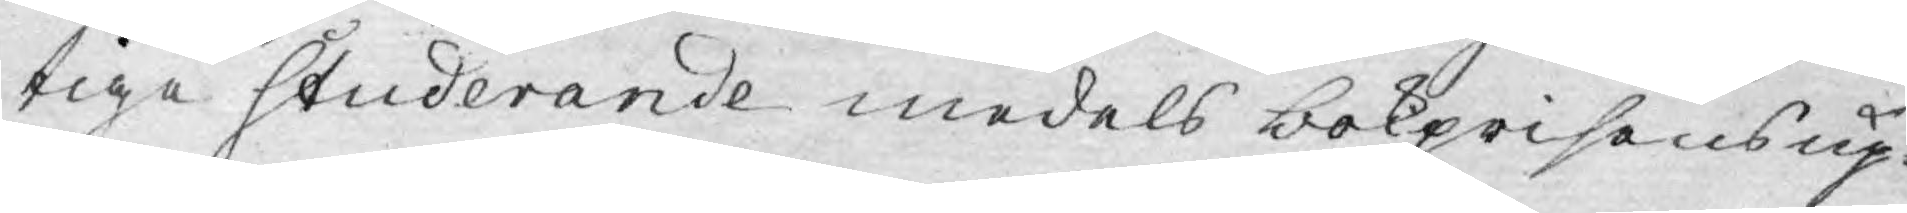tiga Studerande medels bokprisens up¬
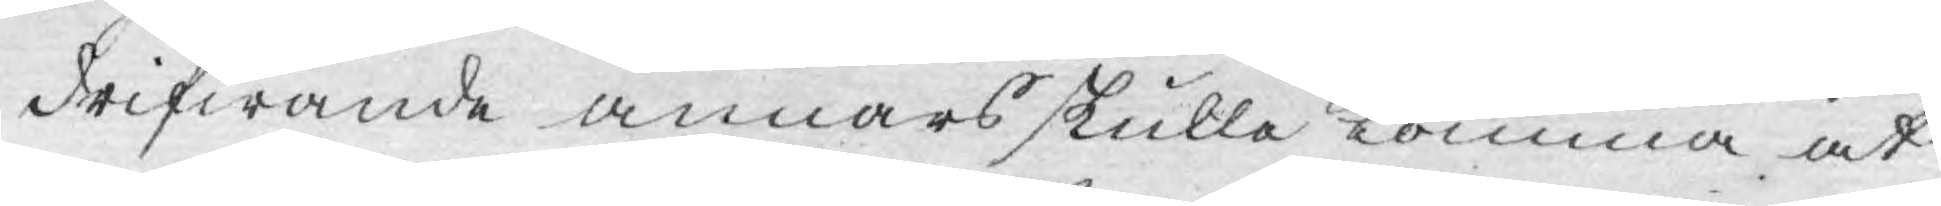drifwande annars skulle komma at
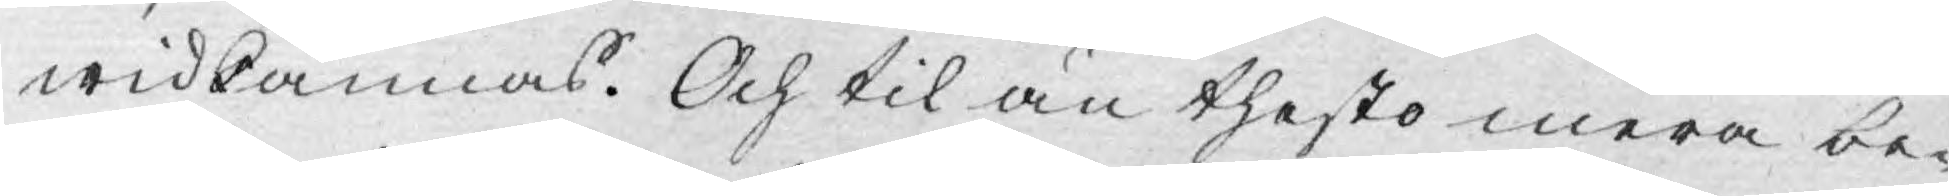widkännas. Och til än thesto mera be¬
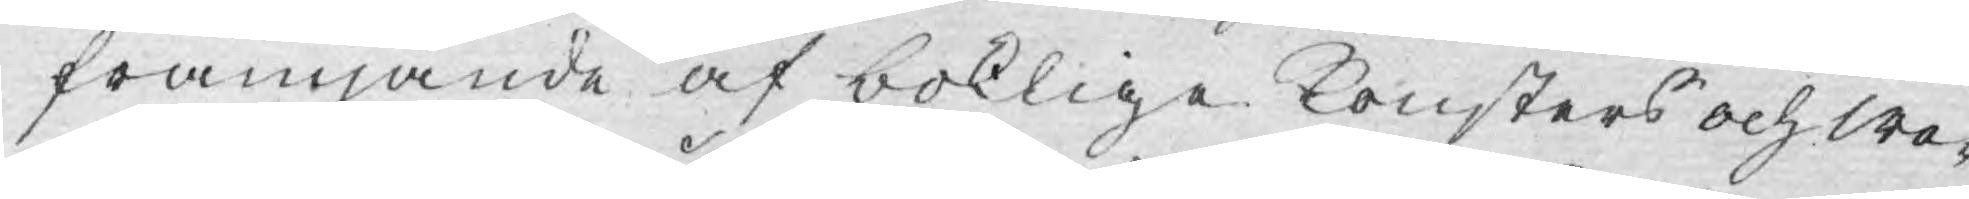främjande af boklige Konsters och We¬
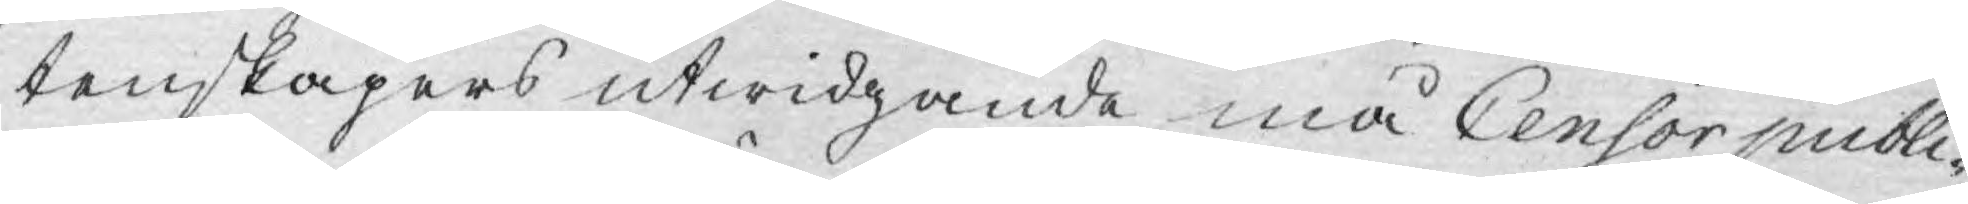tenskapers utwidgande må Censor publi¬
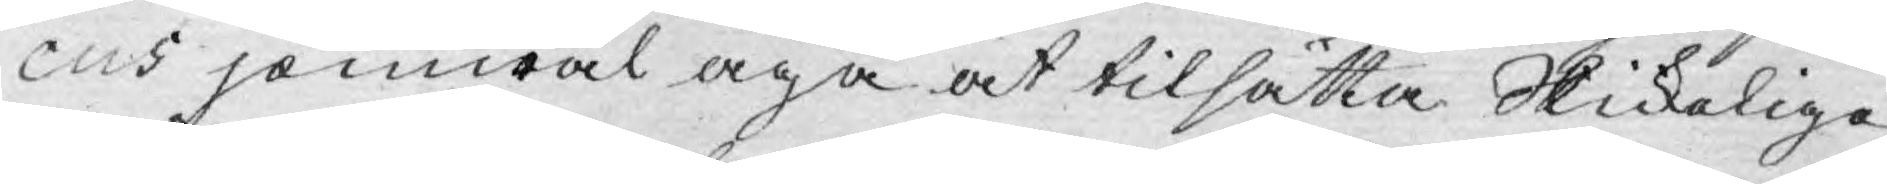cus jämwäl äga at tilsätta Skickelige
